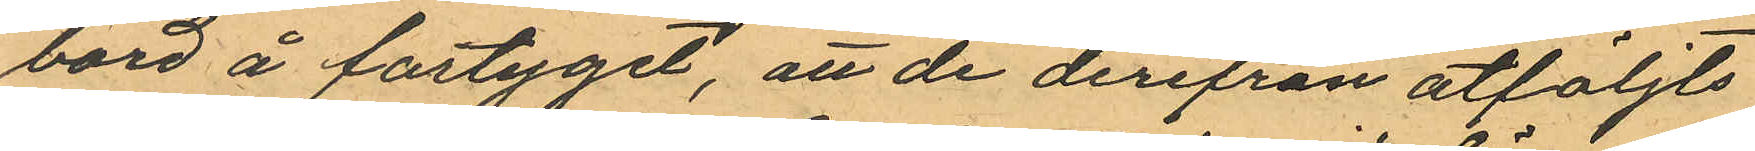bord å fartyget, att de derifrån åtföljts
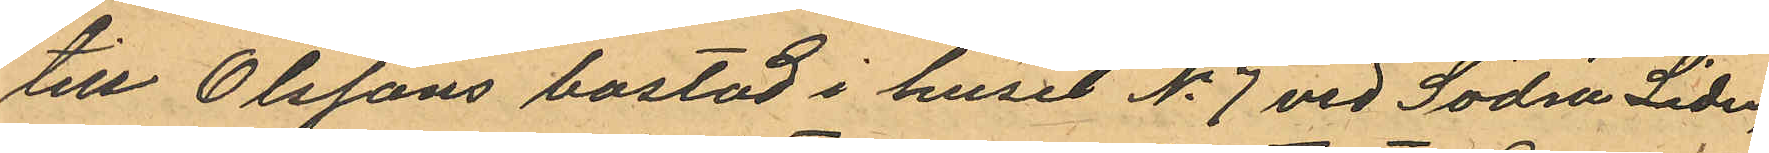till Olssons bostad i huset No 7 vid Södra Liden,
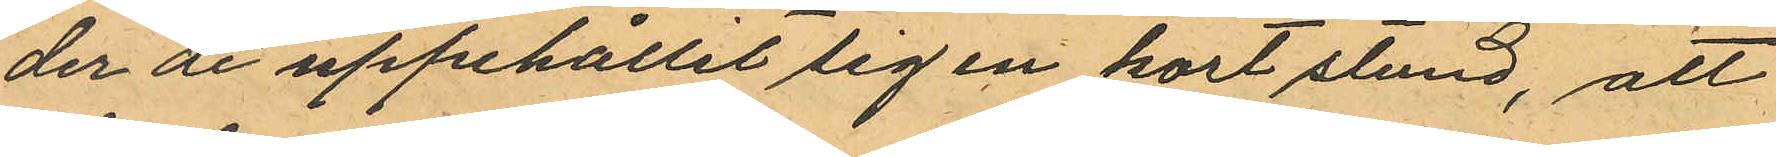der de uppehållit sig en kort stund, att
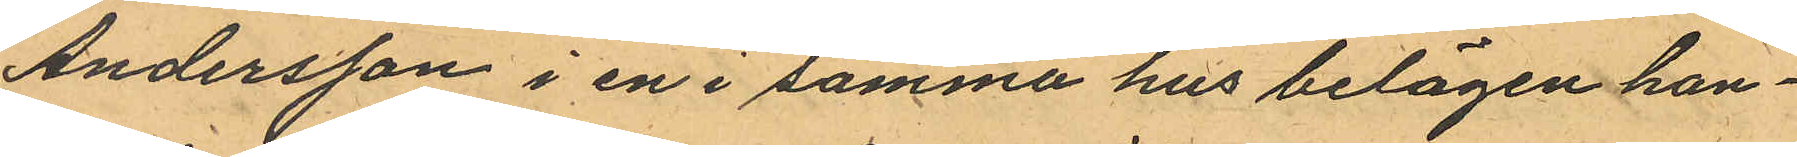Andersson i en i samma hus belägen han¬
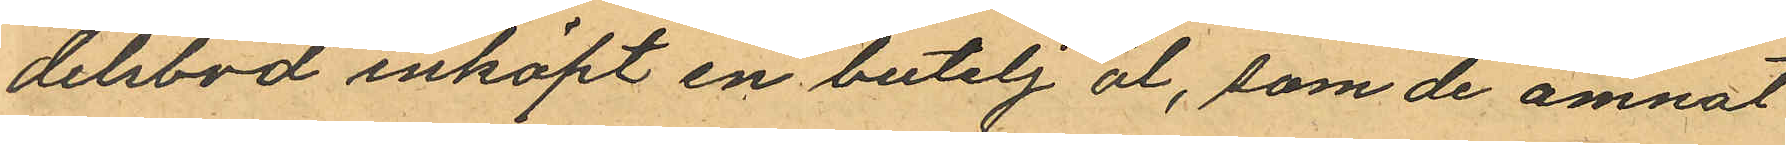delsbod inköpt en butelj öl, som de ämnat
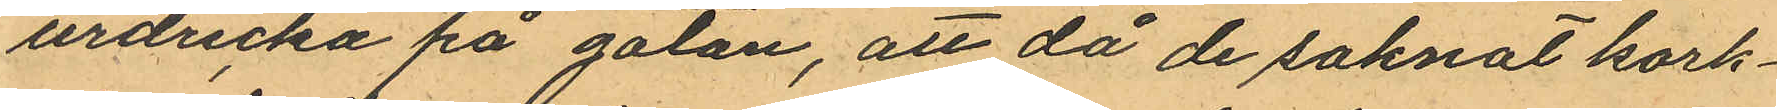urdricka på gatan, att då de saknat kork¬
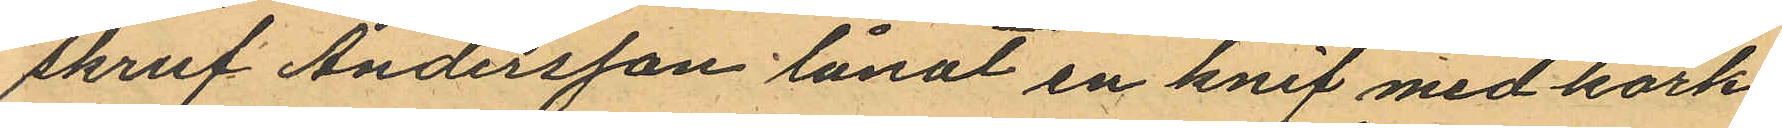skruf Andersson lånat en knif med kork¬
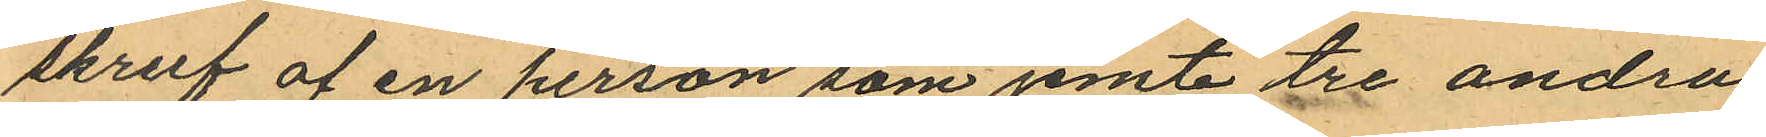skruf af en person som jemte tre andra
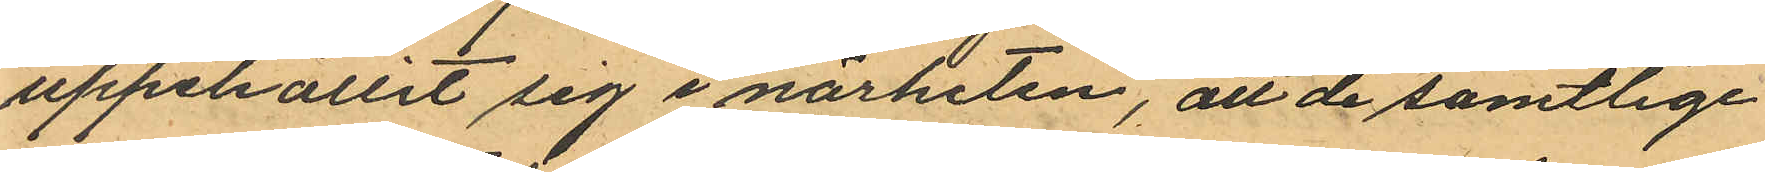uppehållit sig i närheten, att de samtlige
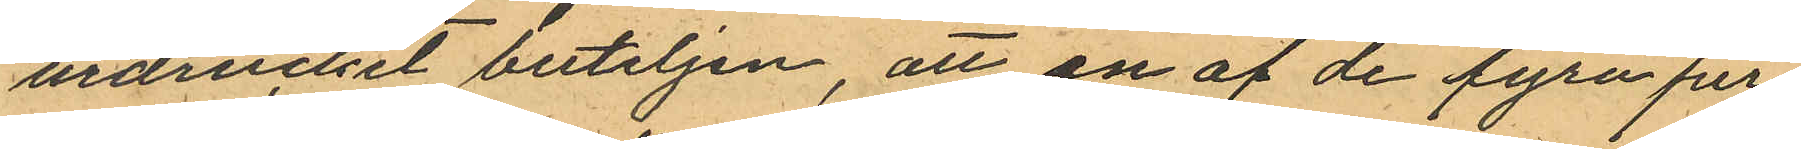urdruckit buteljen, att en af de fyra per¬
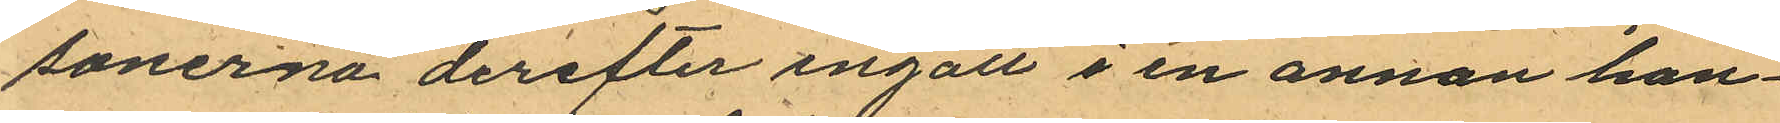sonerna derefter ingått i en annan han¬
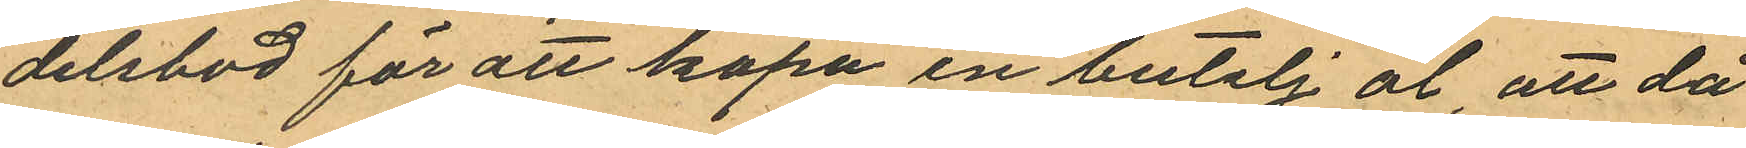delsbod för att köpa en butelj öl, att då
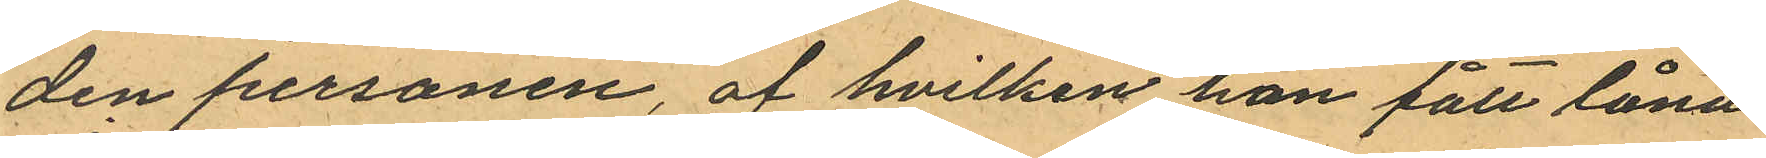den personen, af hvilken han fått låna
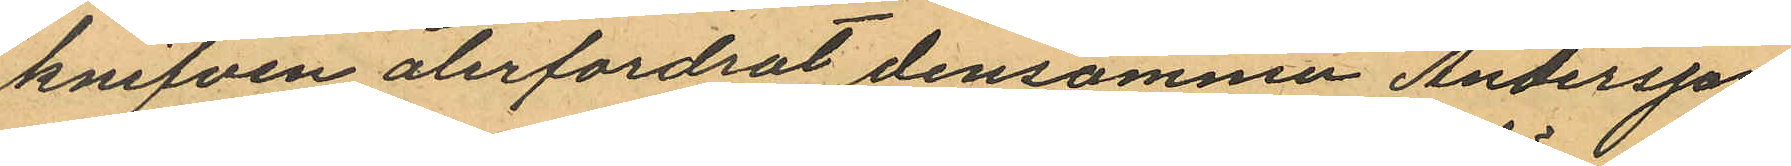knifven återfordrat densamme Andersson
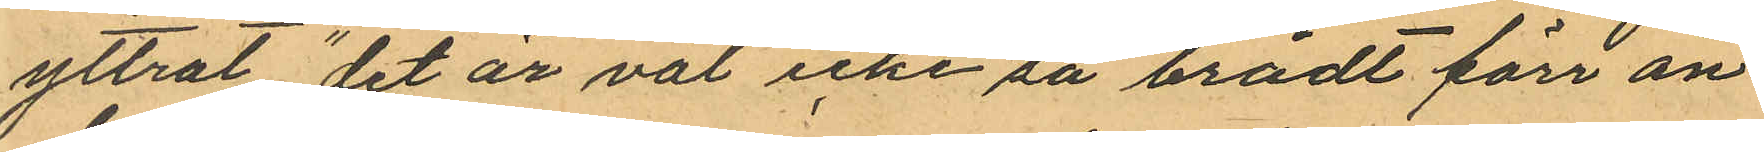yttrat "det är väl icke så brådt förr än
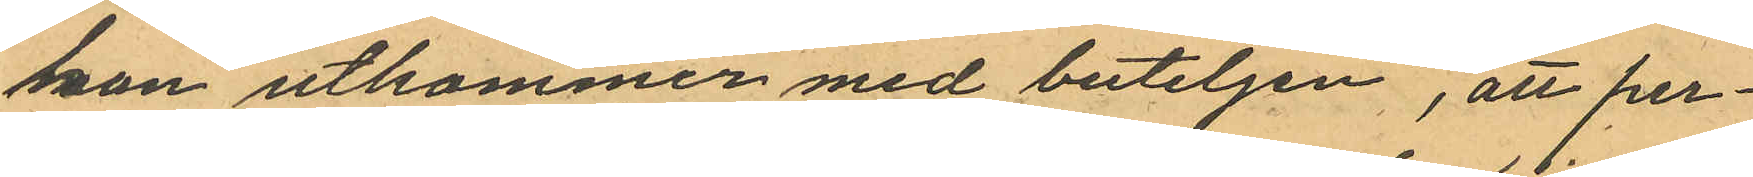han utkommer med buteljen", att per¬
